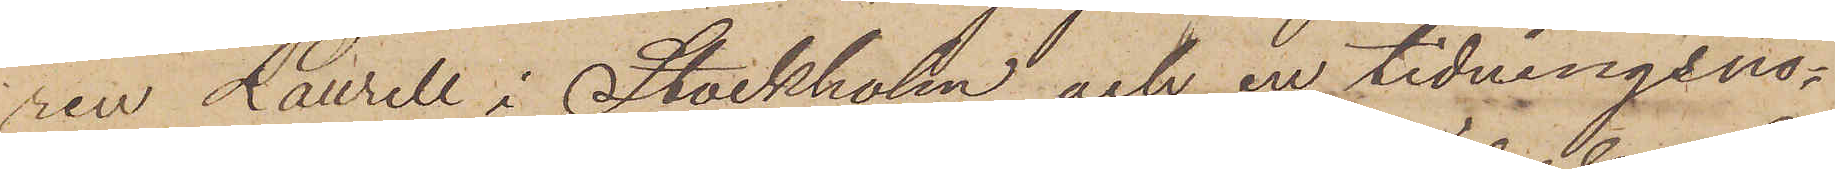ren Laurell i Stockholm och en tidningsno¬
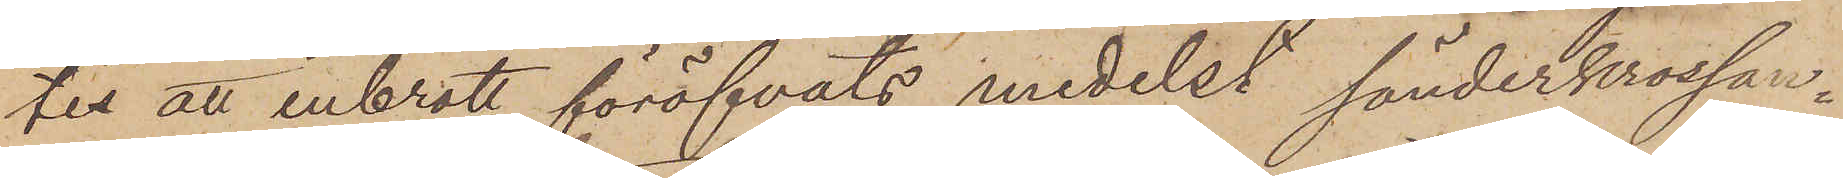tis att inbrott föröfvats medelst sönderkrossan¬
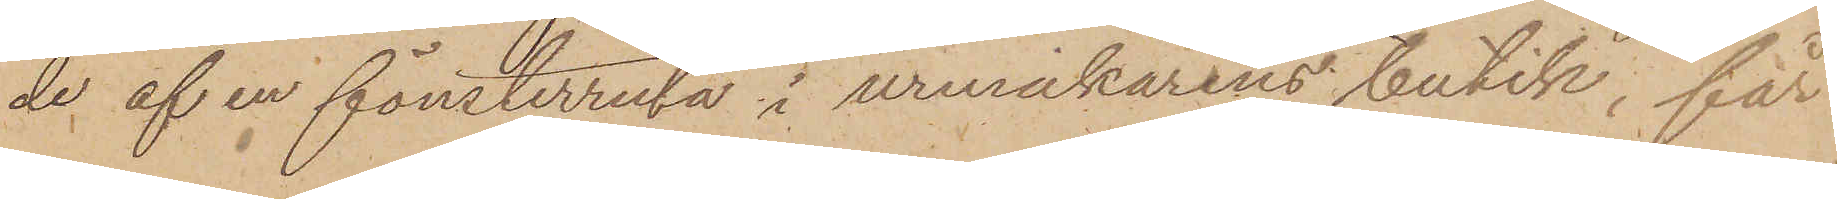de af en fönsterruta i urmakarens butik, får
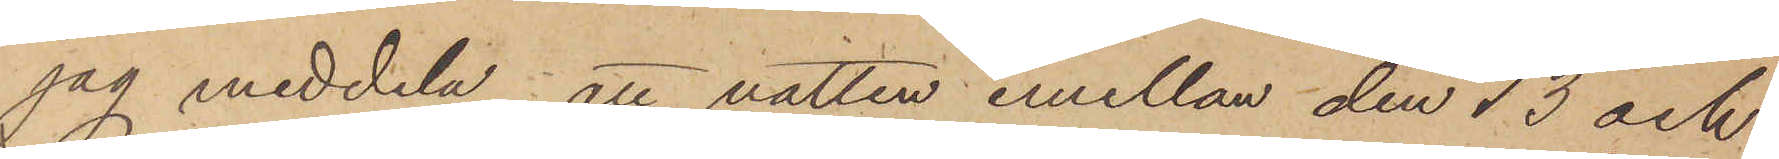jag meddela, att natten emellan den 13 och
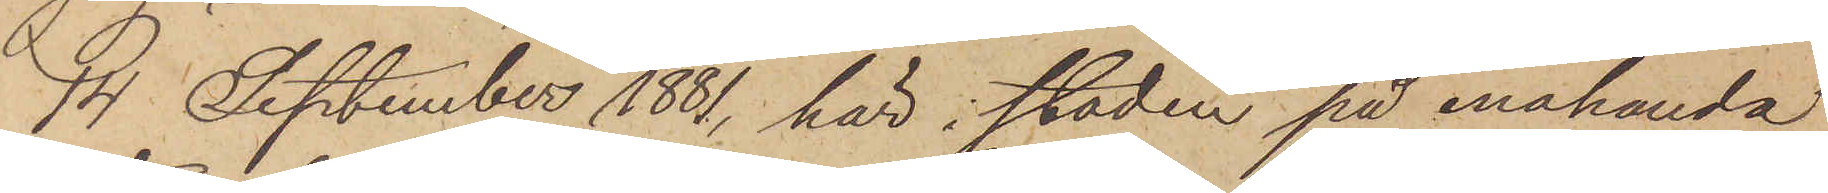14 September 1881, här i staden på enahanda
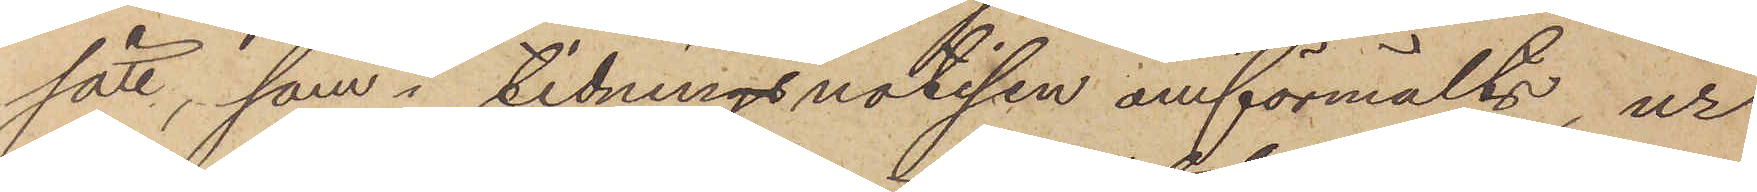sätt, som i tidningsnotisen omförmälts, ur
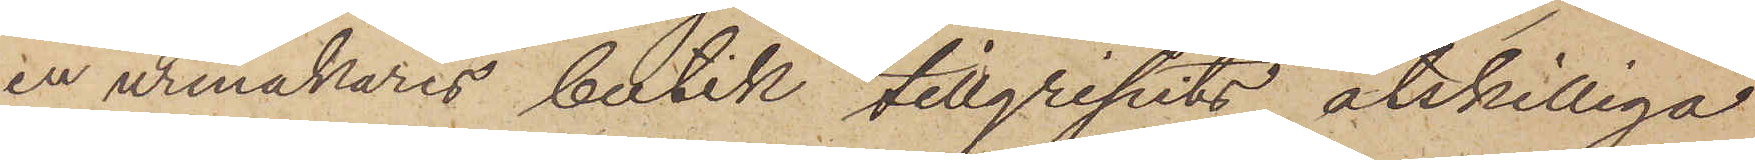en urmakares butik tillgripits åtskilliga
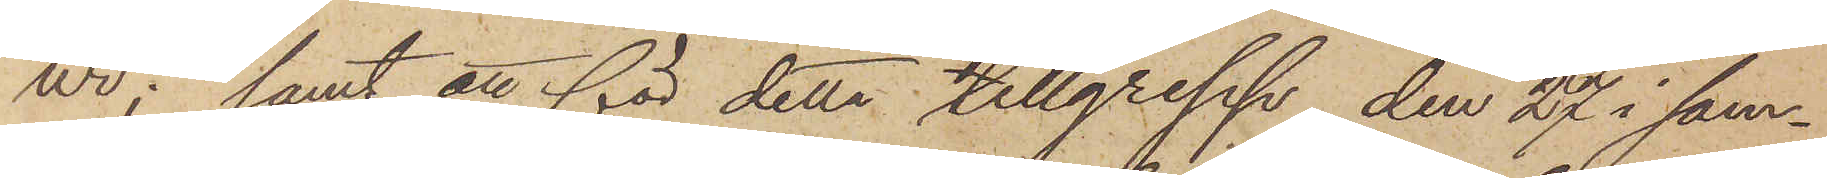ur; samt att för detta tillgrepp den 27 i sam¬
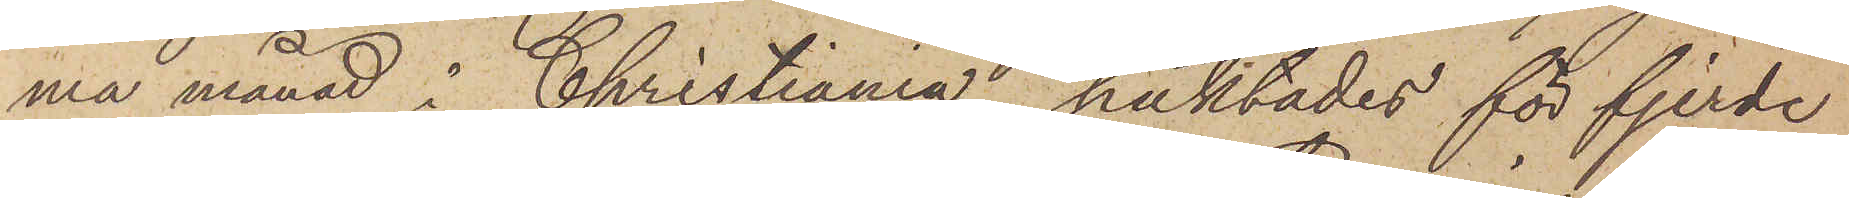ma månad i Christiania häktades för fjerde
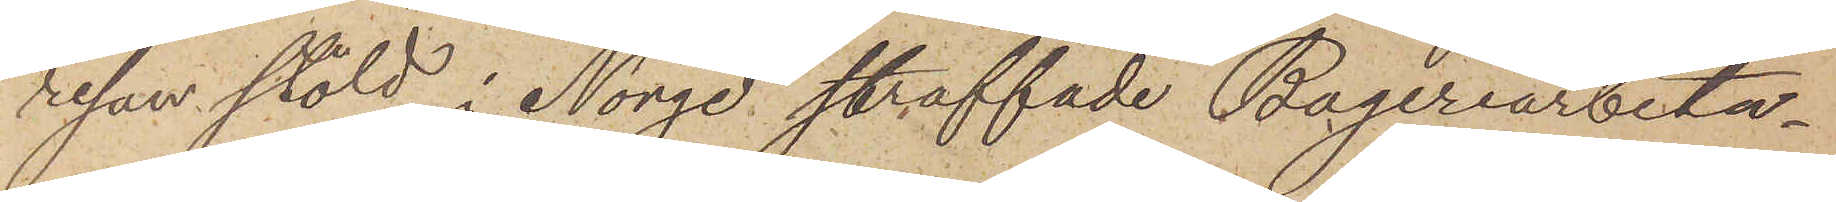resan stöld i Norge straffade Bageriarbeta¬
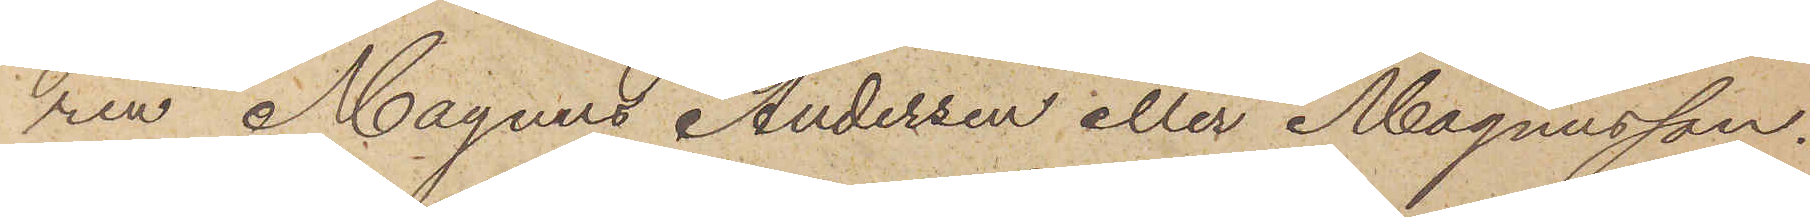ren Magnus Andersen eller Magnusson.
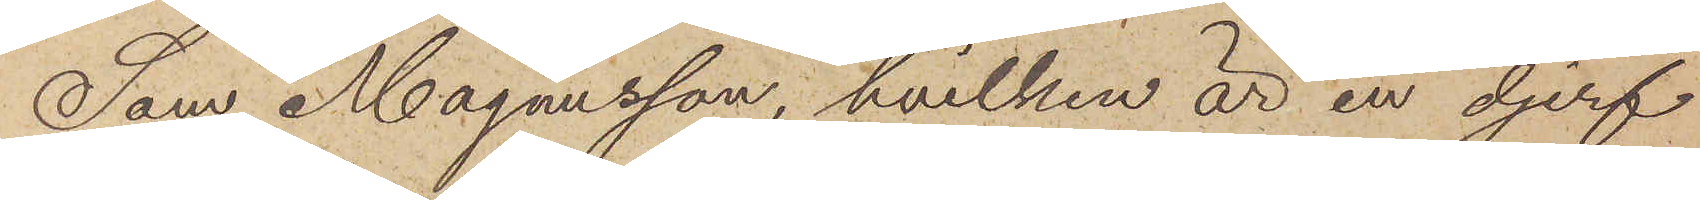Som Magnusson, hvilken är en djerf
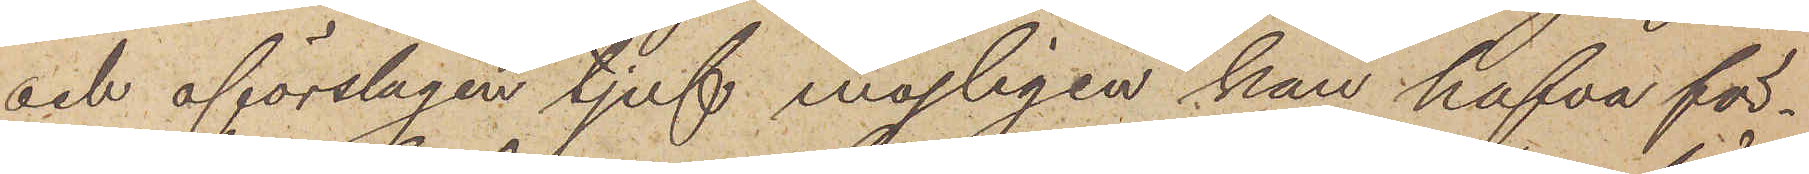och förslagen tjuf möjligen han hafva för¬
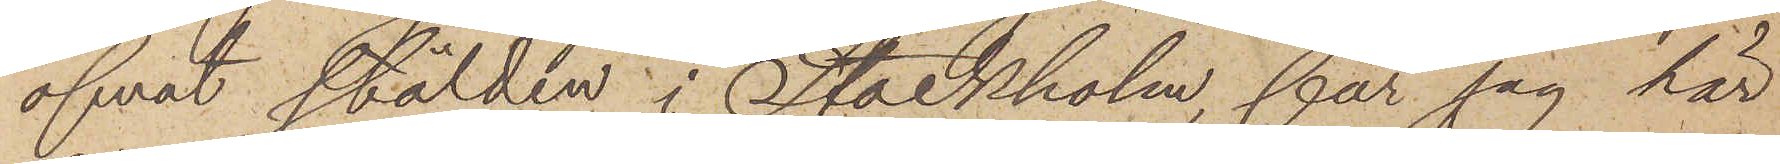öfvat stölden i Stockholm, får jag här
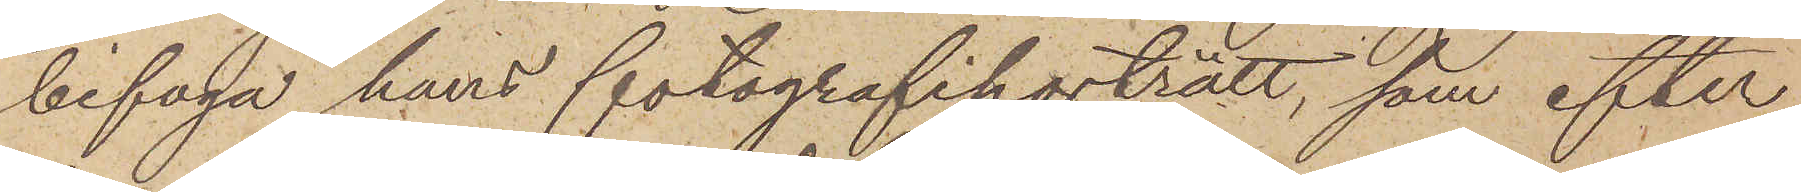bifoga hans fotografiporträtt, som efter
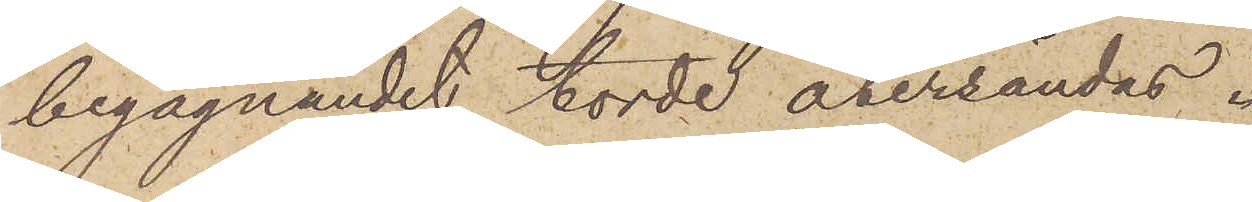begagnandet torde återsändas.
